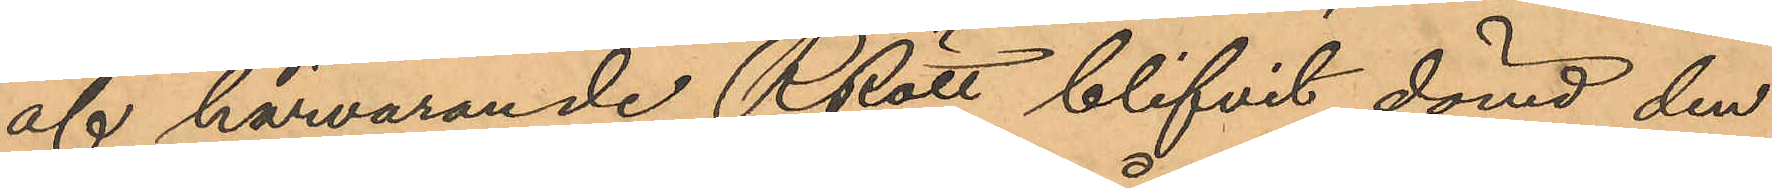af härvarande RRätt blifvit dömd den
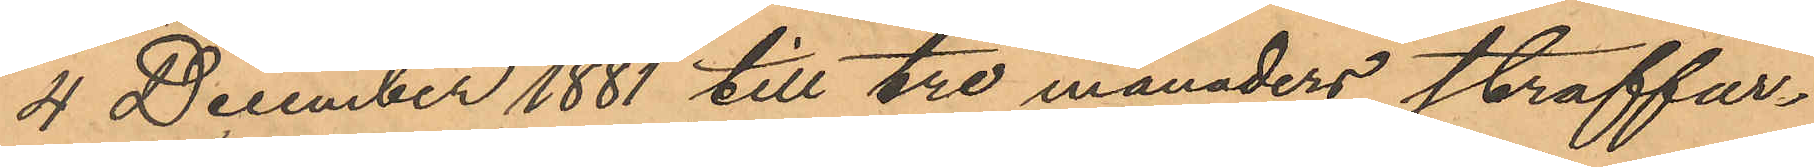4 December 1881 till tre månaders straffar¬
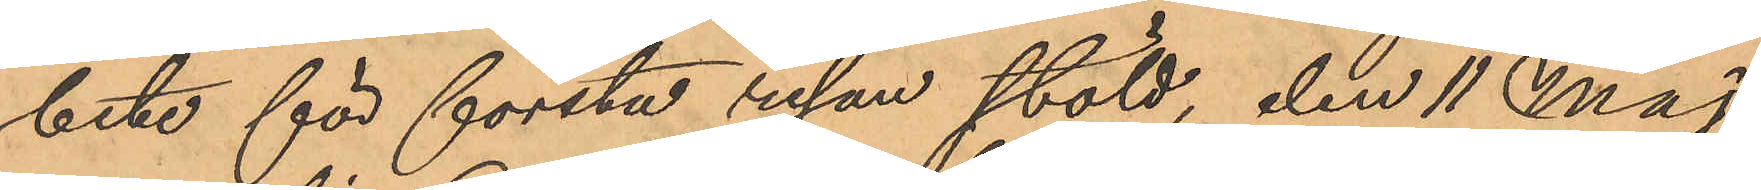bete för första resan stöld, den 11 Maj
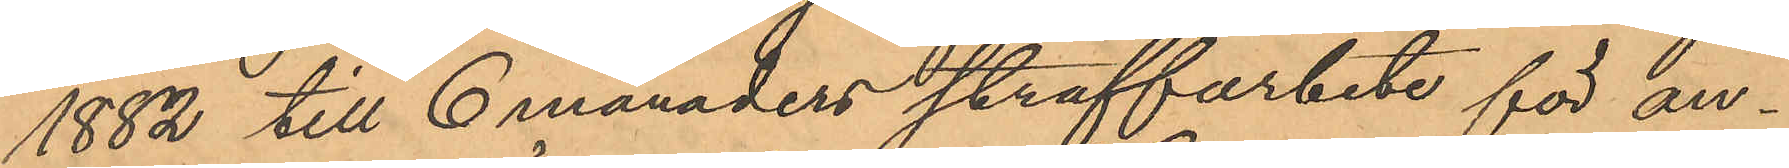1882 till 6 månaders straffarbete för an¬
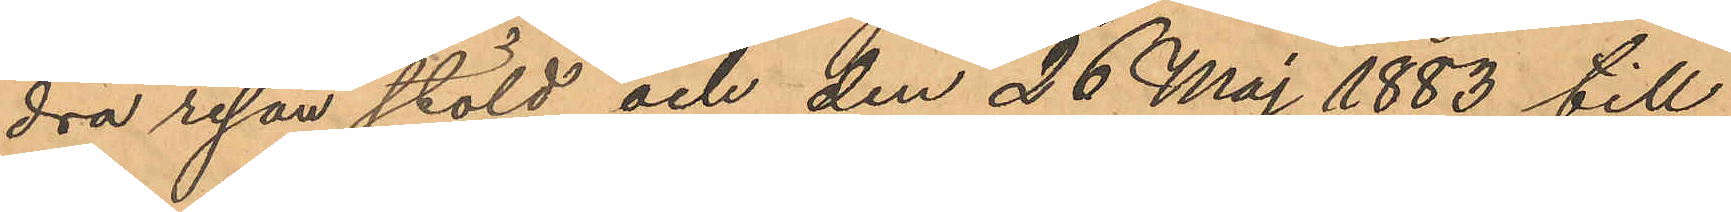dra resan stöld och den 26 Maj 1883 till
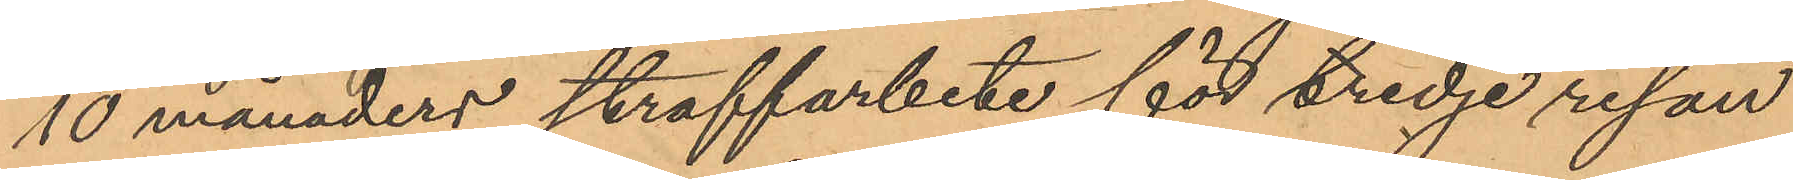10 månaders straffarbete för tredje resan
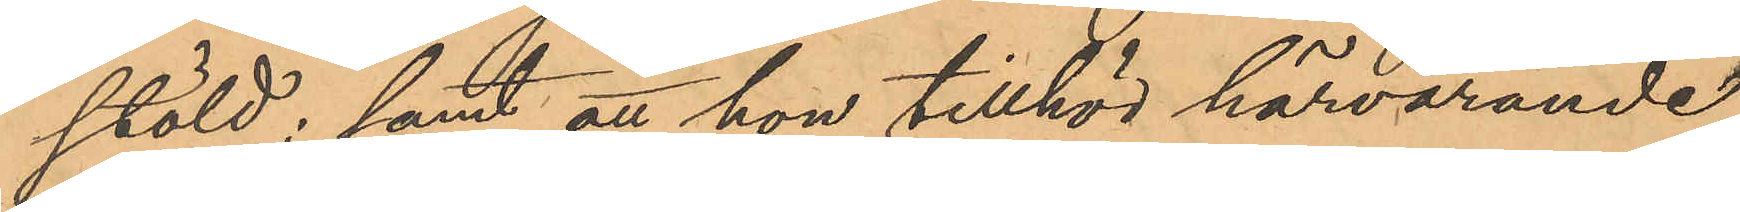stöld; samt att hon tillhör härvarande
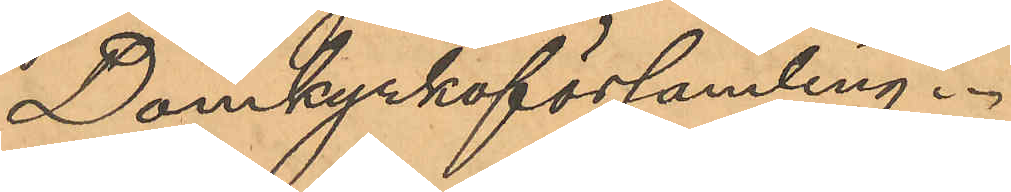Domkyrkoförsamling.
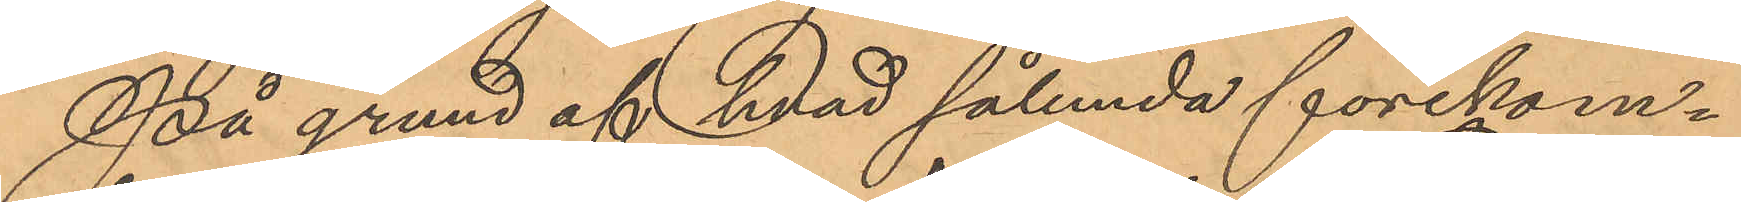På grund af hvad sålunda förekom¬
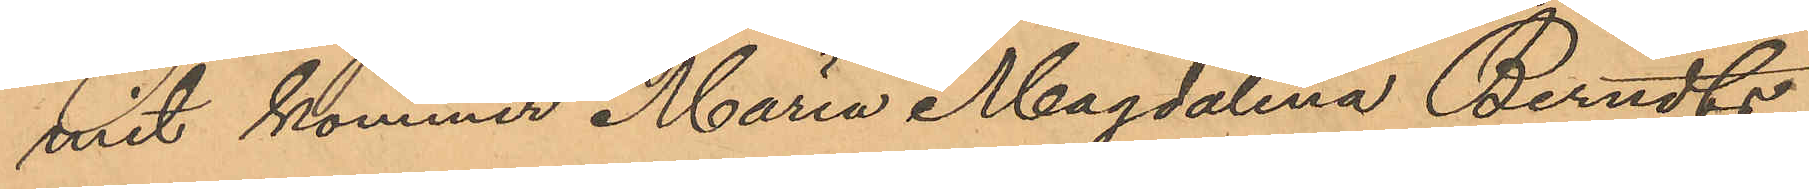mit kommer Maria Magdalena Berndts¬
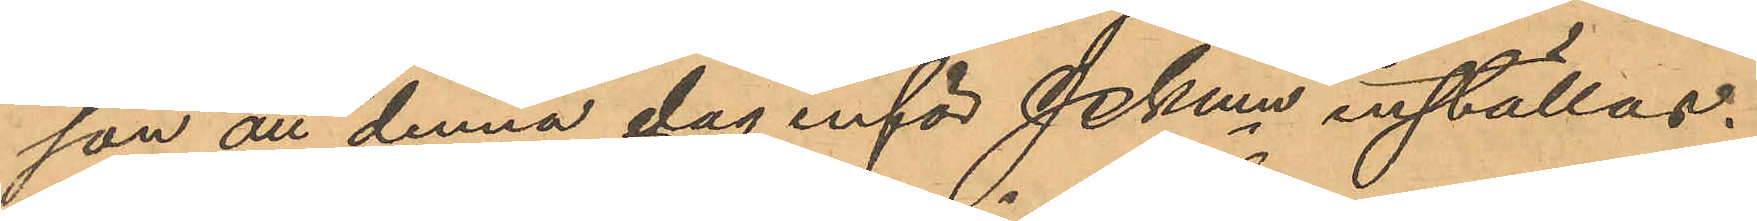son att denna dag inför Pkmn inställas.
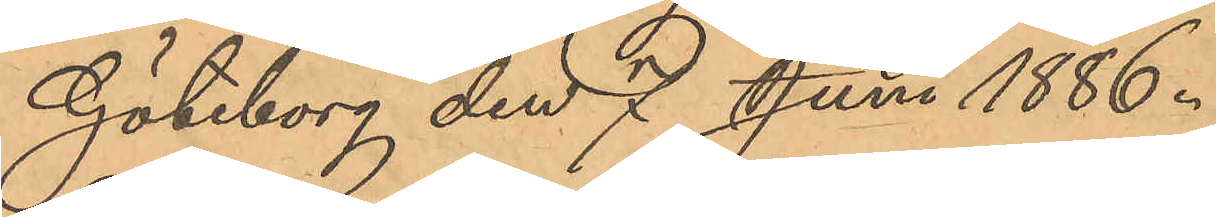Göteborg den 7 Juni 1886.
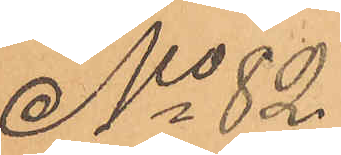No 82.
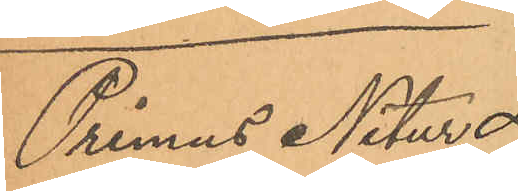Primus Nitur
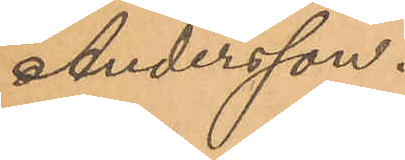Andersson.
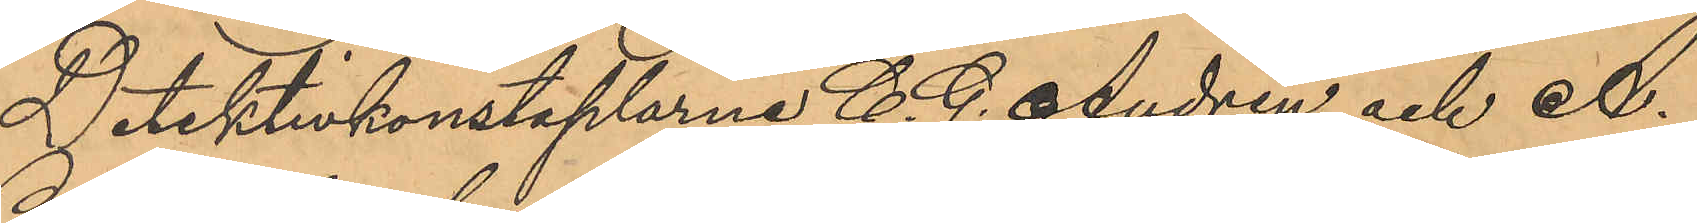Detektivkonstaplarne C. G. Andrén och A.
